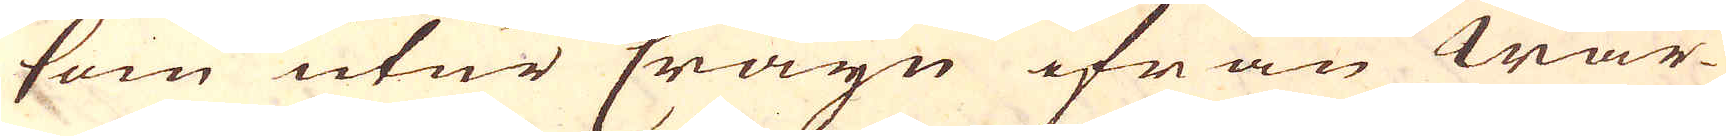som utur Cräyn ifrån War-
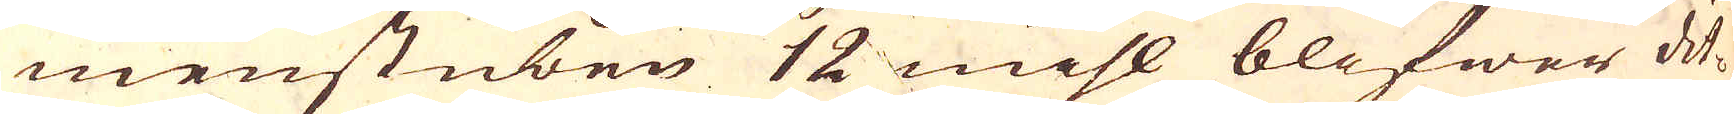menstüben 12 mihl blifwer dit-
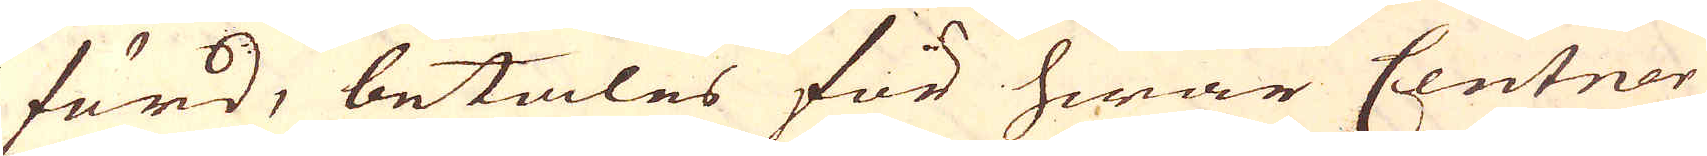förd, betales för hwar Centner
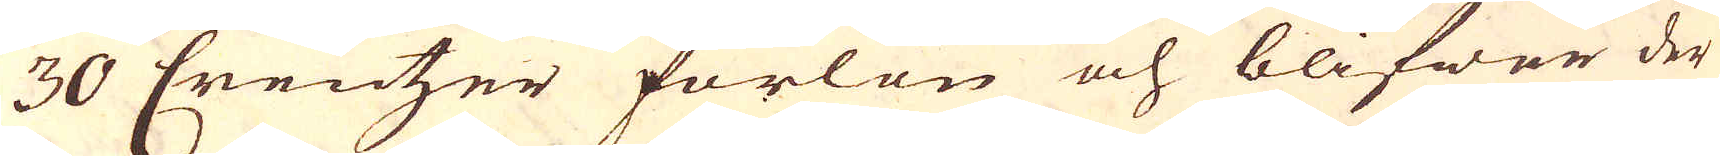30 Creutzer forlön och blifwer der
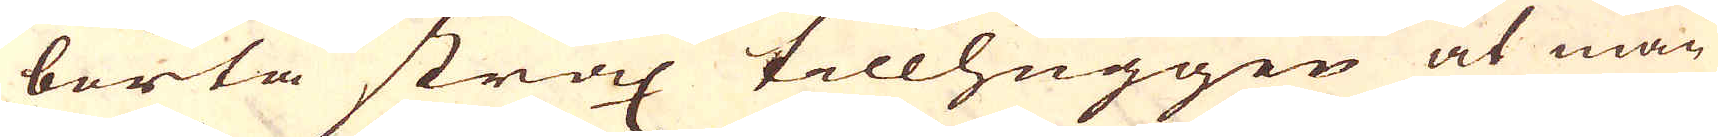borta strax tillhuggen at man
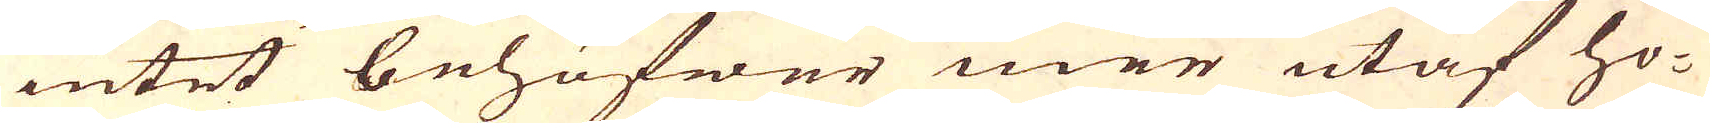intet behöfwer mer utaf ho-
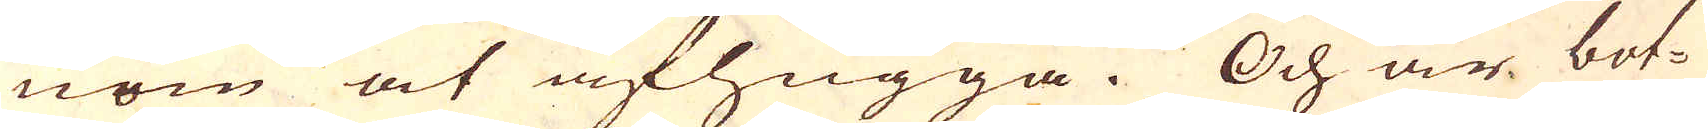nom at afhugga. Och är bot-
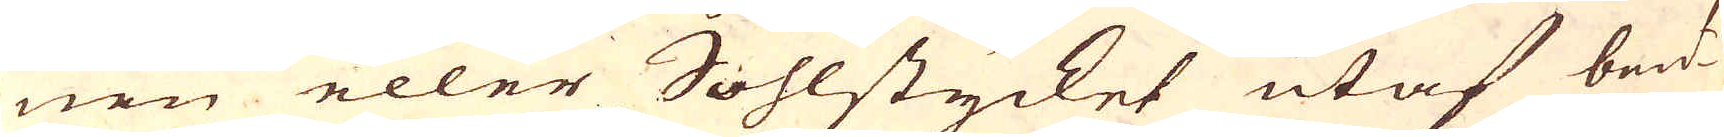nen eller Sohlstycket utaf beid-
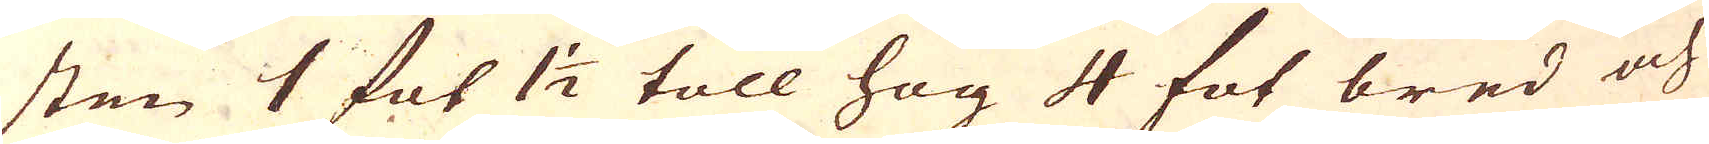sten 1 fot 1 1/2 toll hog 4 fot bred och
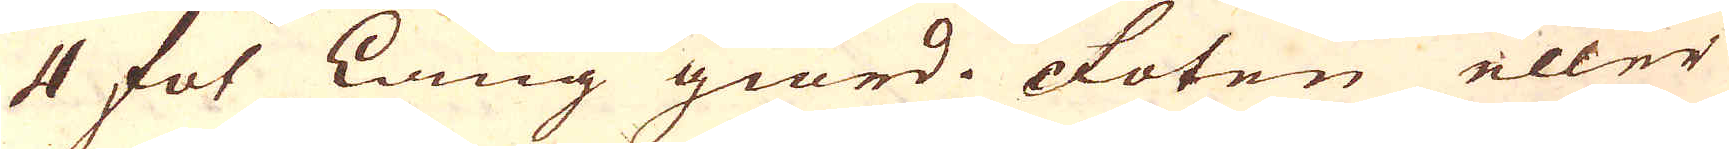4 fot lång giord. Foten eller
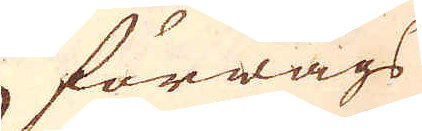förwägs
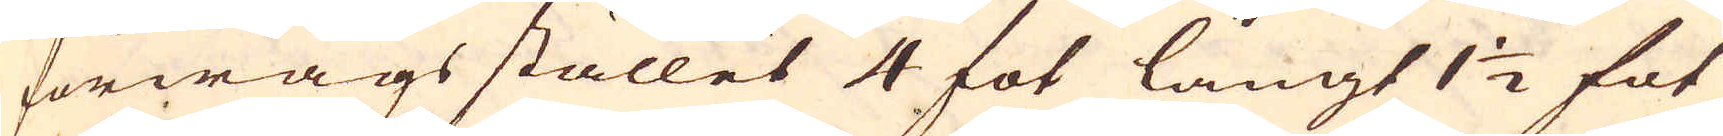förwägs stället 4 fot långt 1 1/2 fot
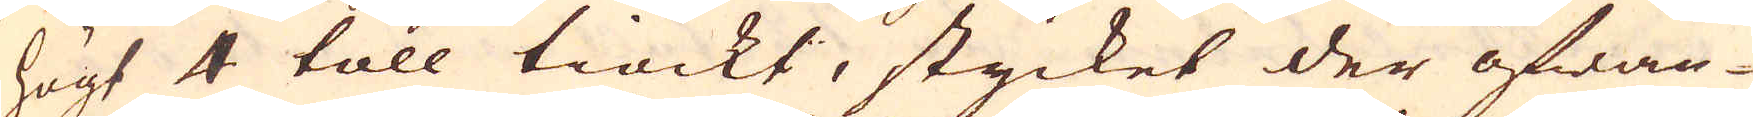högt 4 toll tiockt, stycket der ofwan-
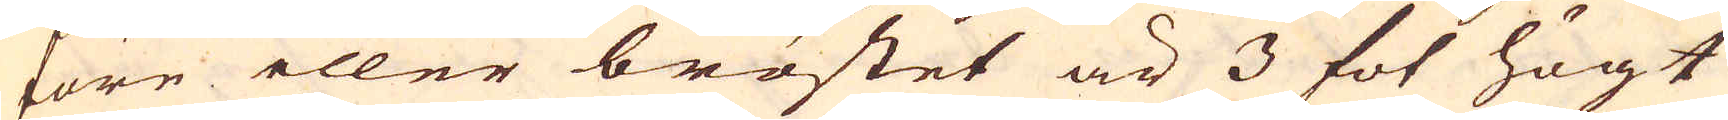före eller bröstet är 3 fot högt
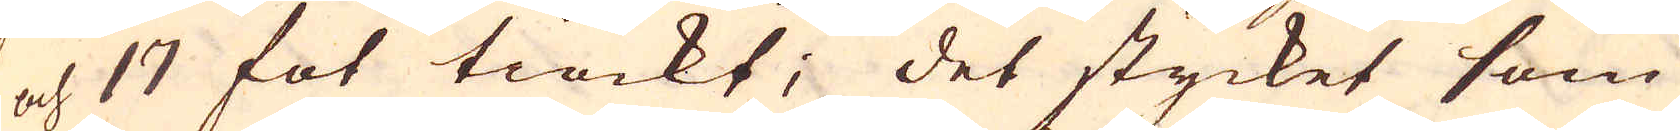och 17 fot tiockt; det stycket som
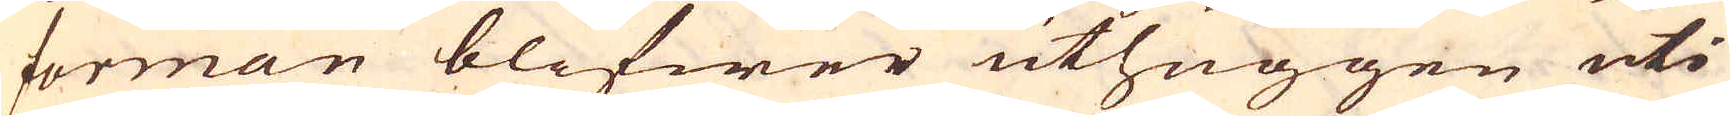forman blifwer uthuggen uti
